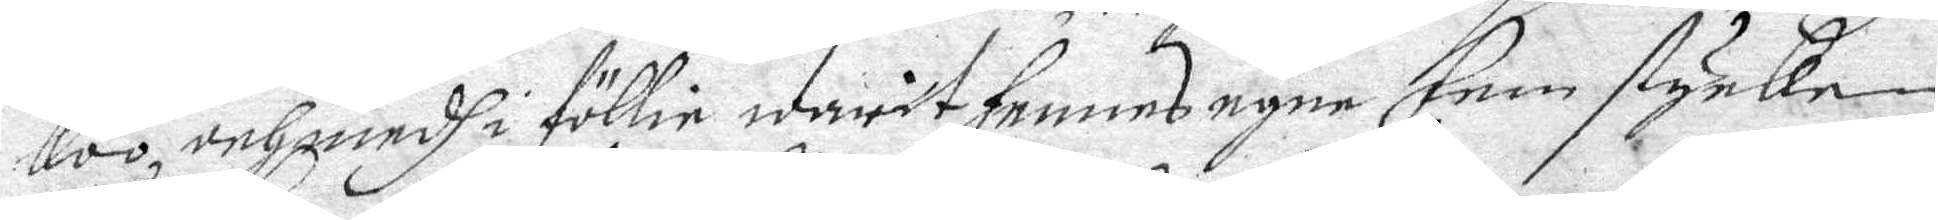koo, och medh i föllie warit hennes egne fem stycken
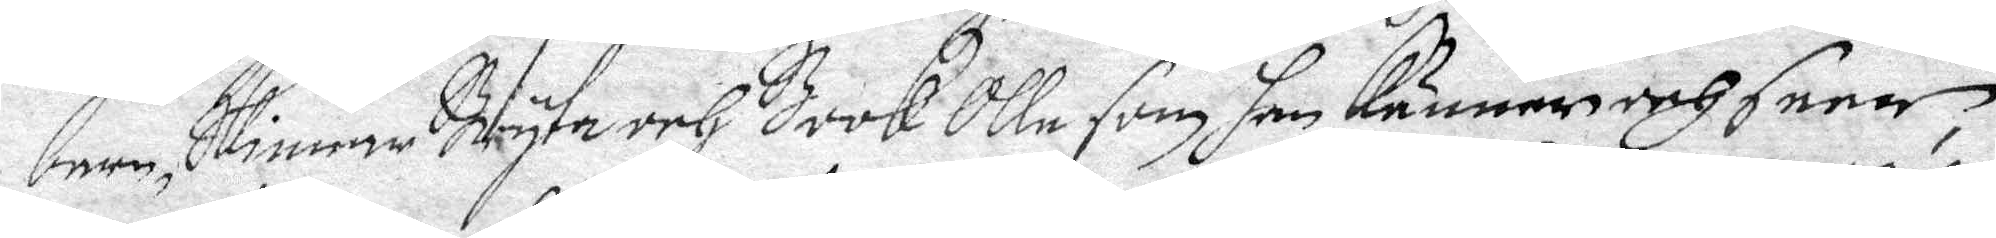barn, Skinnar Bryta och BookOlle som han känner och seer, 
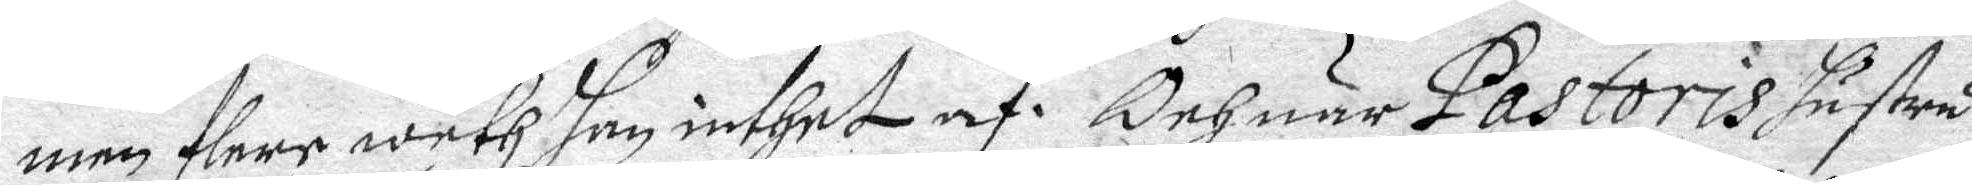men flere weth han inthet af. Och när Pastoris hustru
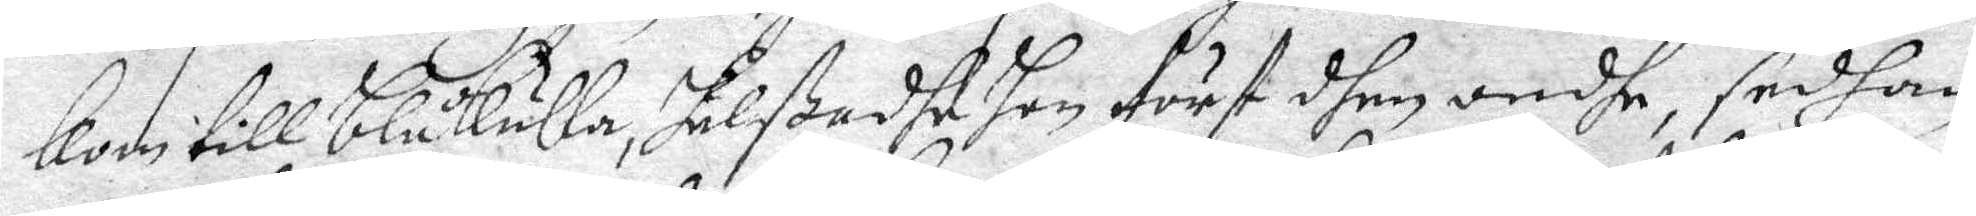kom till Blåkulla, hälßadhe hon först dhen ondhe, sedhan
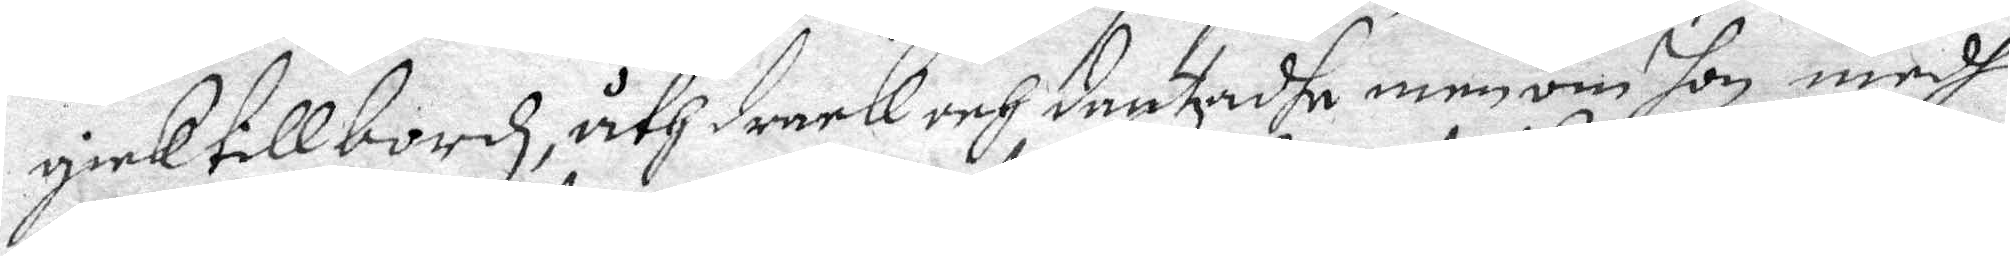gick till bordz, åth drack och dantzadhe men om hon medh
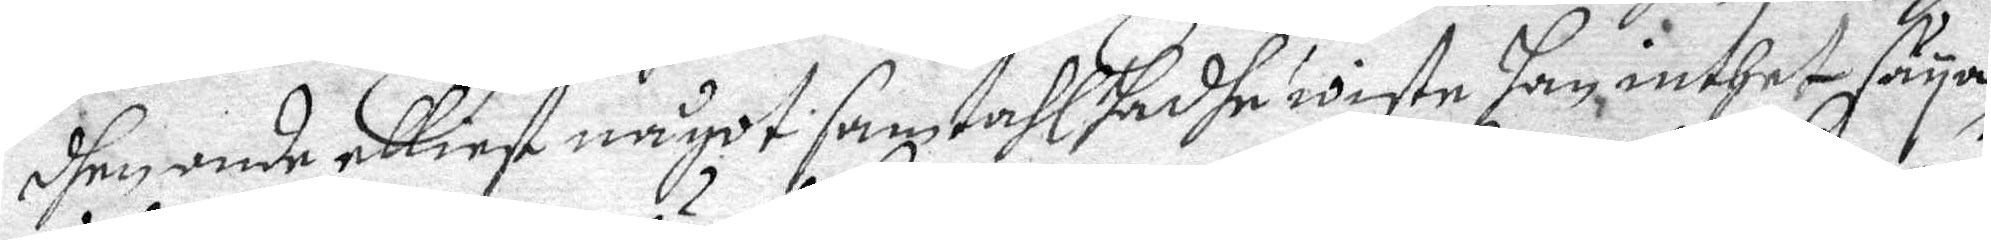dhen onde elliest något samtahl hadhe wiste hag inthet säya,
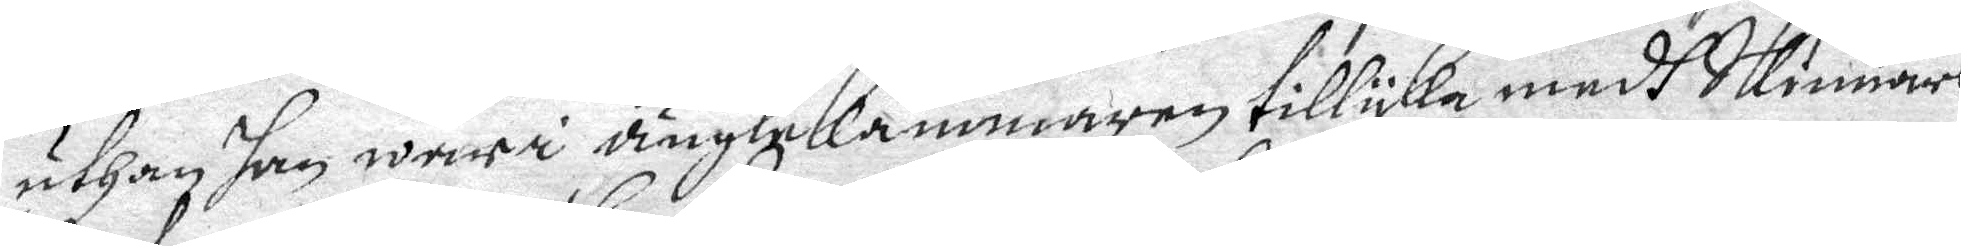uthan han war i änglekammaren tillyka medh Skinnars
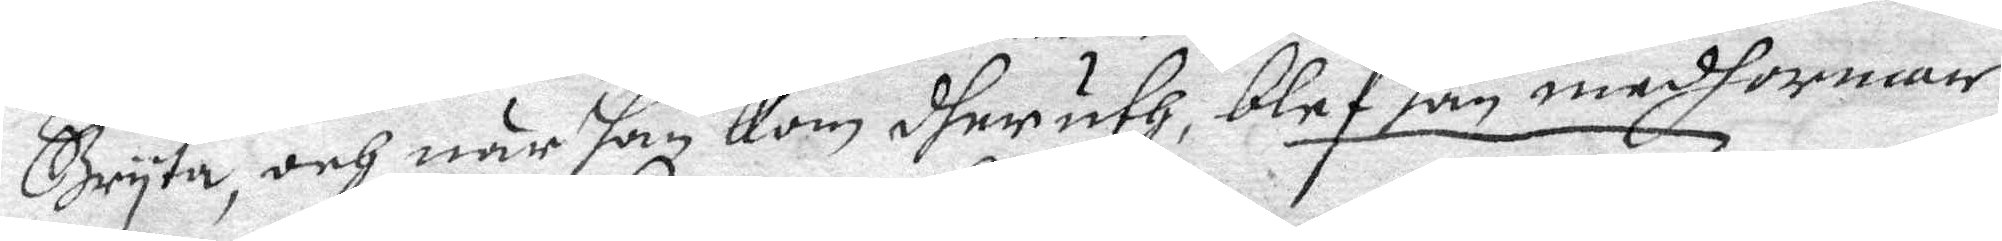Bryta, och när han kom dher uth, blef han medh ormar
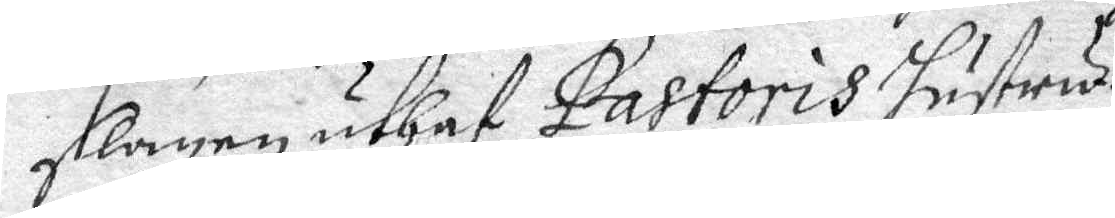slagen uthaf Pastoris Hustru.
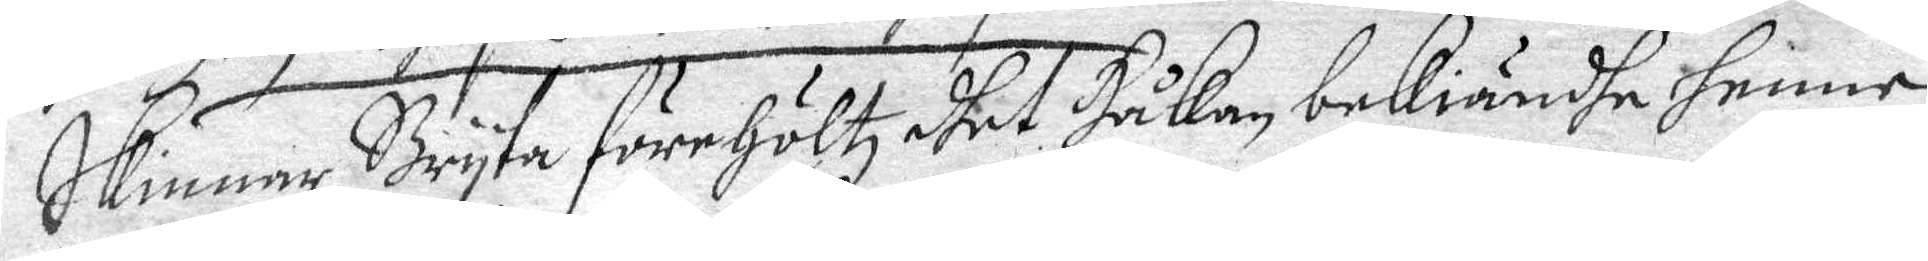Skinnar Bryta förehöltz dhet Håkan bekiändhe henne
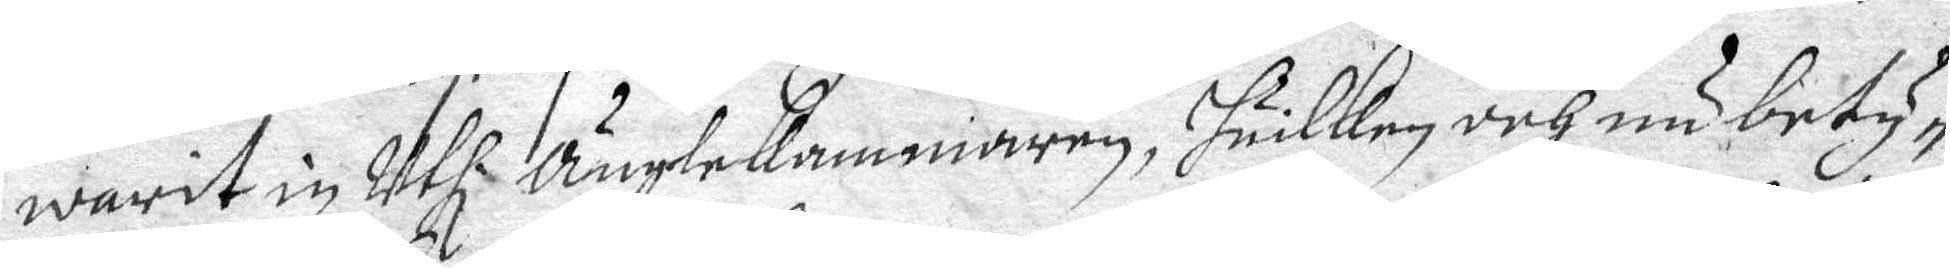warit in Uthi Änglekammaren, huilken och nu bety¬
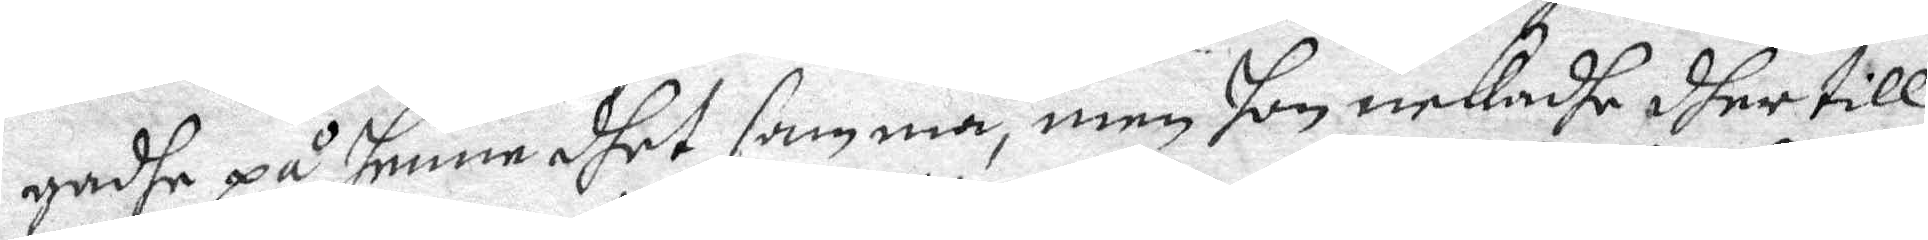gadhe på henne dhet samma, men hon nekadhe dher till,
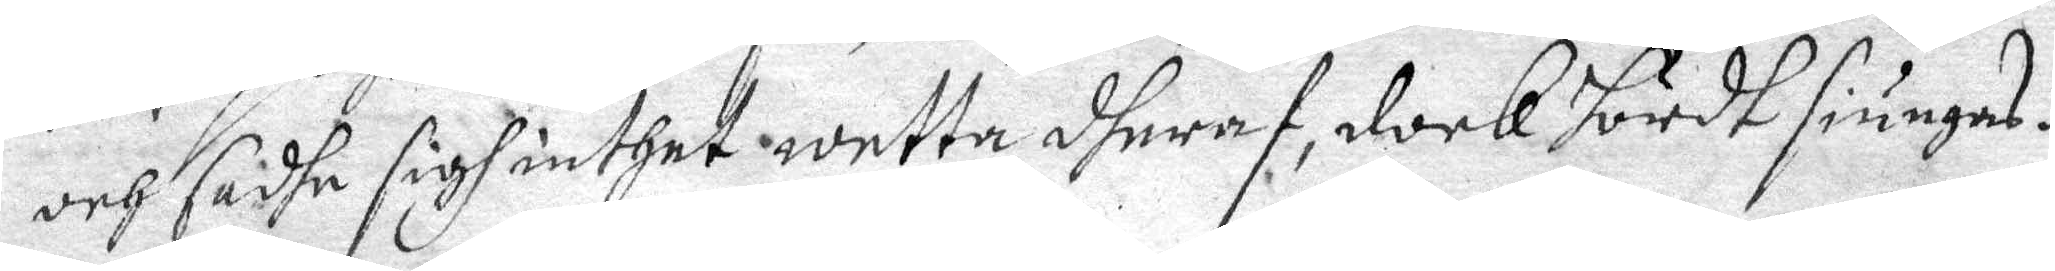och sadhe sigh inthet wetta dheraf, dock hördt siungas.
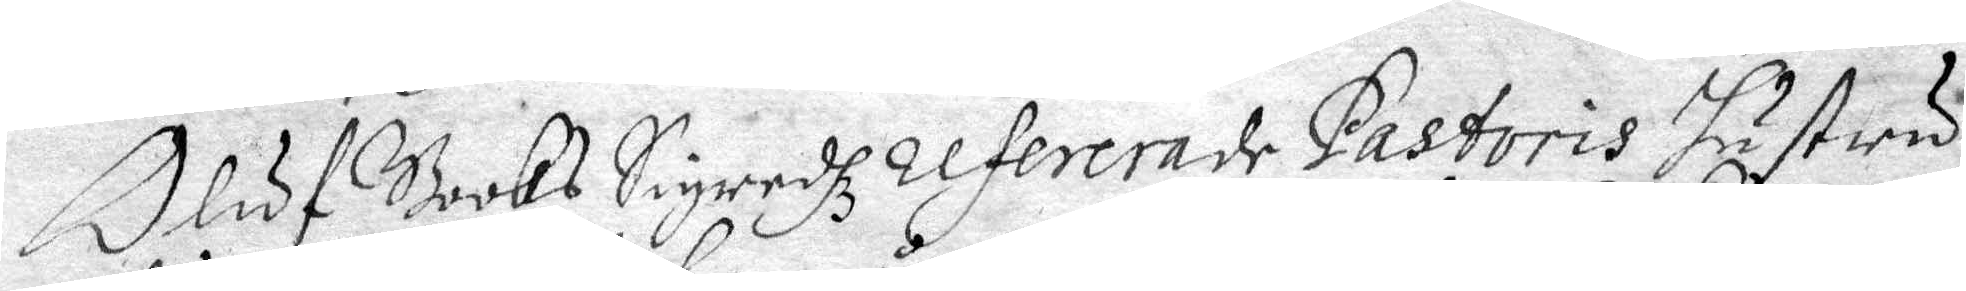Oluf Books Sigredhz refererade Pastoris Hustru
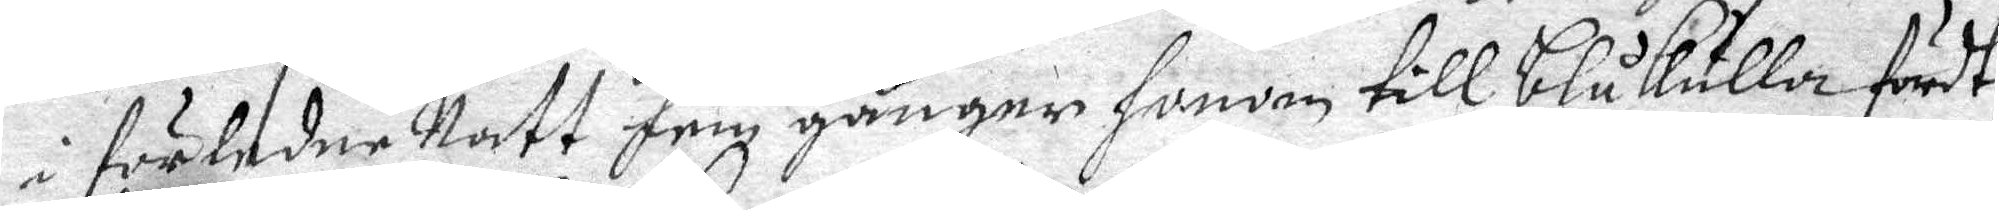i förledne Natt fem gånger honom till Blåkulla fördt,
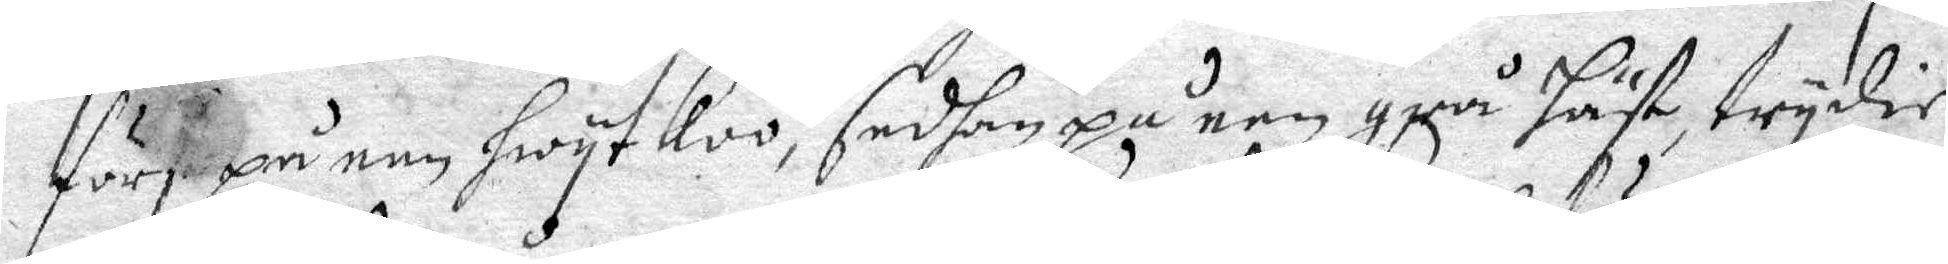först på een hwyt koo, sedhan på een grå häst, trydie
